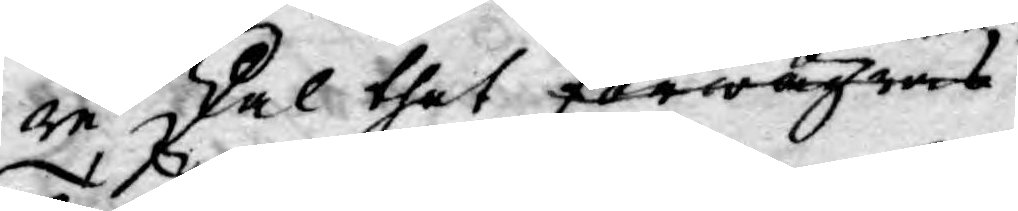re skal thet förwägras
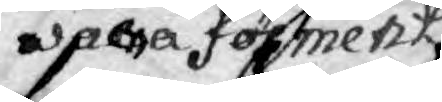wara förment
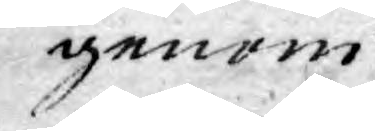genom
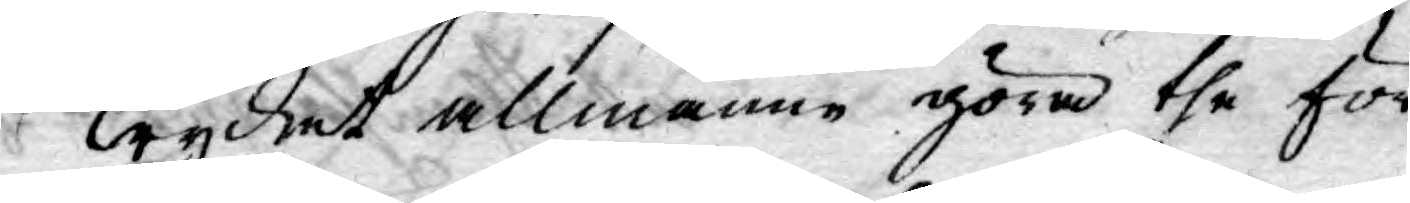Trycket allmänne göra the för¬
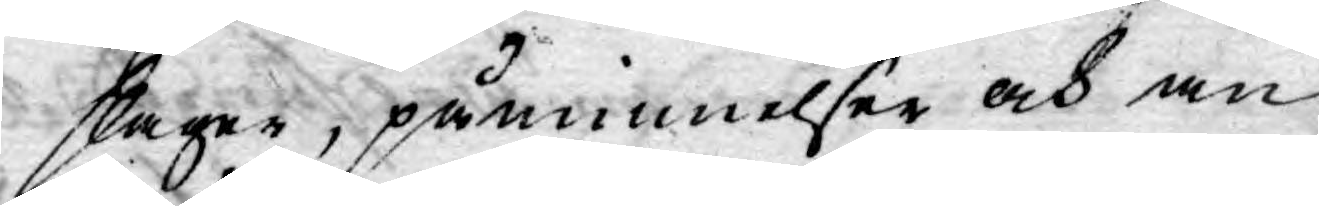slager, påminnelser och an¬
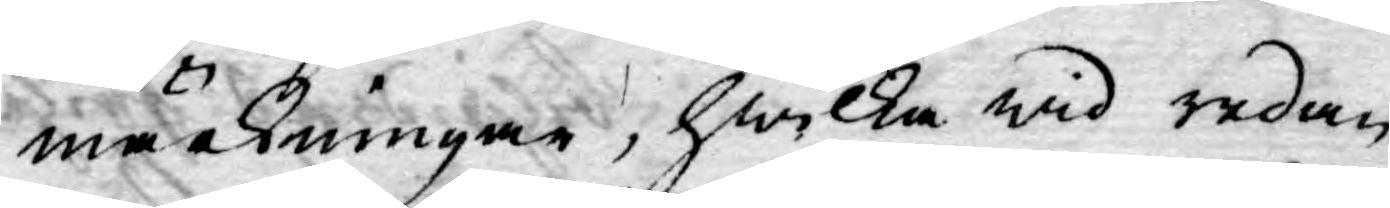märkningar, hwilka wid redan
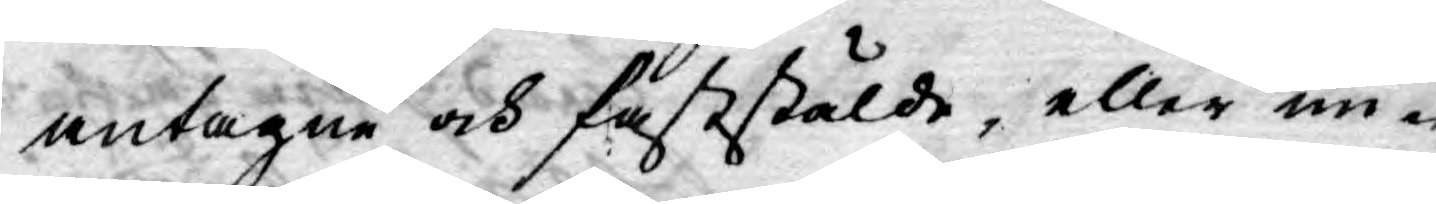antagne och faststälde, eller un¬
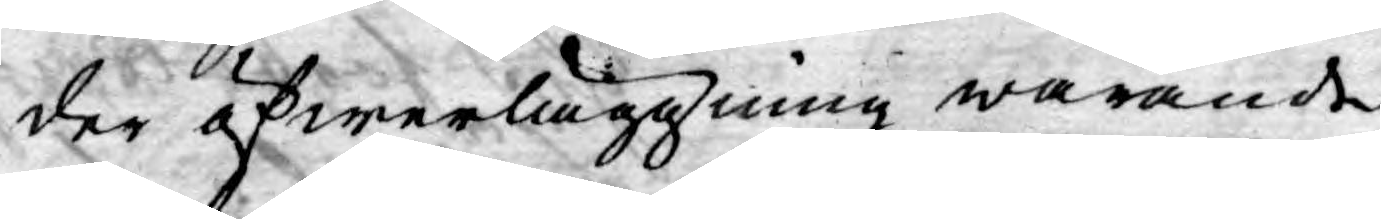der öfwerläggning warande
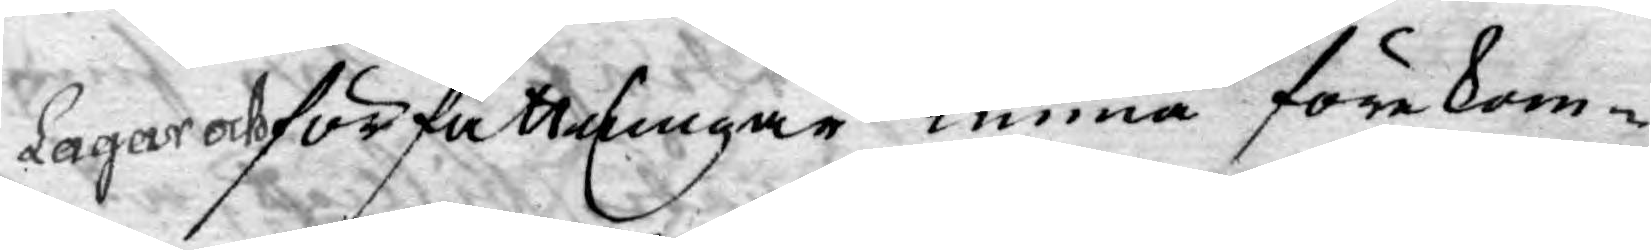Lagar och författningar kunna förekom¬
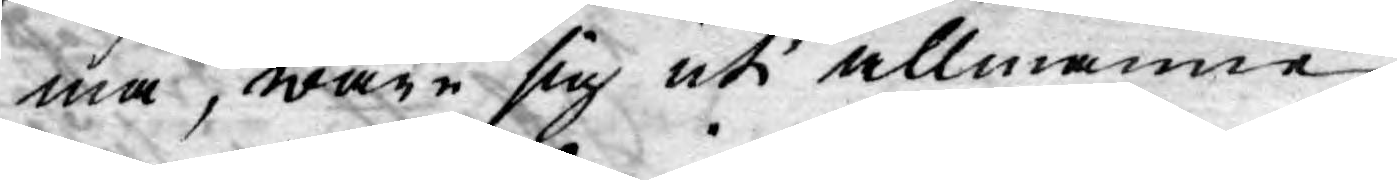ma, ware sig uti allmänne
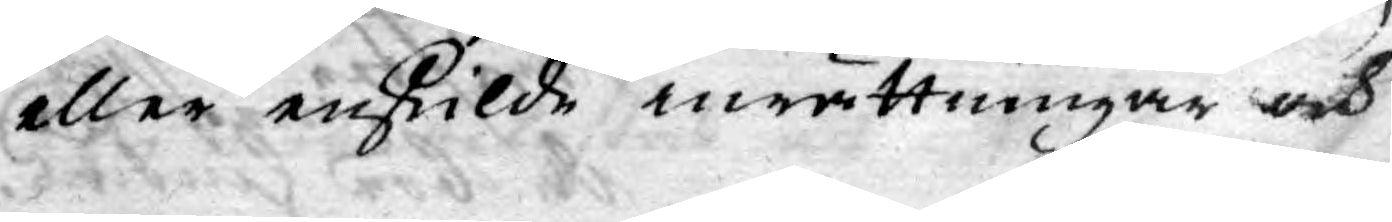eller enskilde inrättningar och
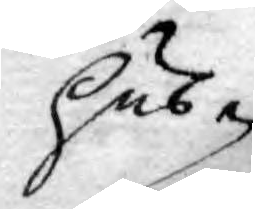hus
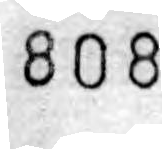808
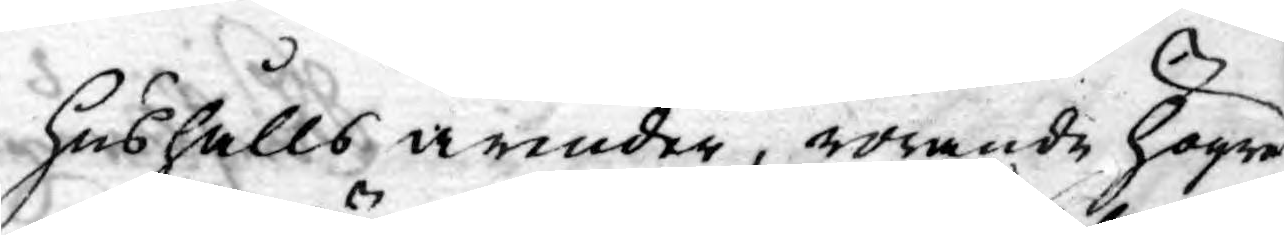hushålls ärender, rörande högre
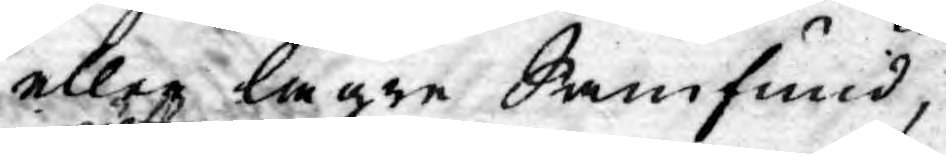eller lägre Samfund,
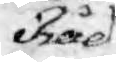Råd,
